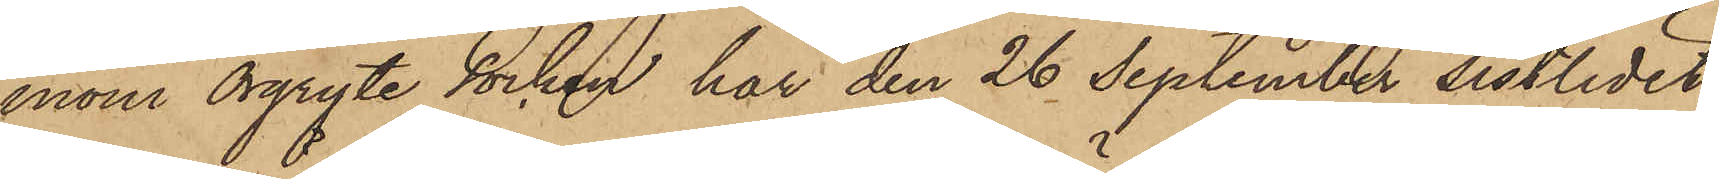inom Örgryte socken har den 26 September sistlidet
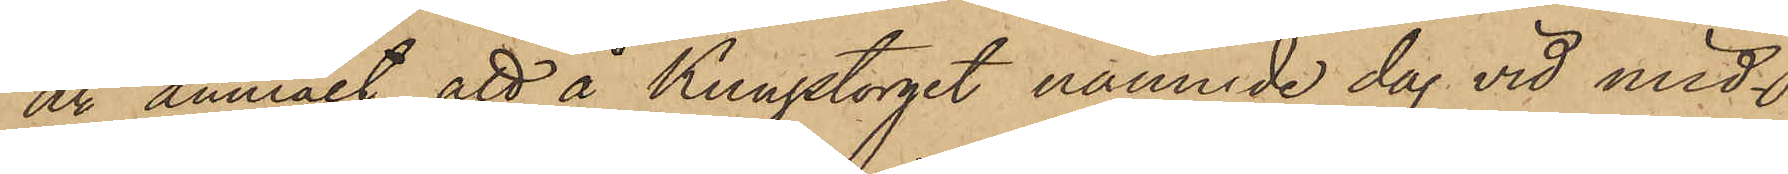år anmält, att å Kungstorget nämnde dag vid mid¬
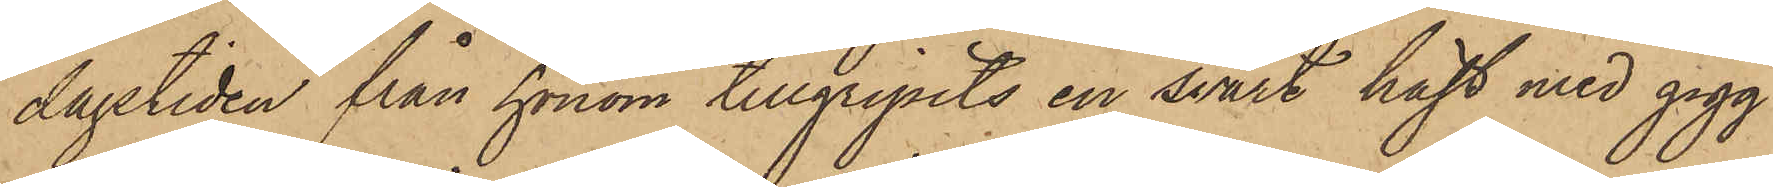dagstiden från honom tillgripits en svart häst med gigg
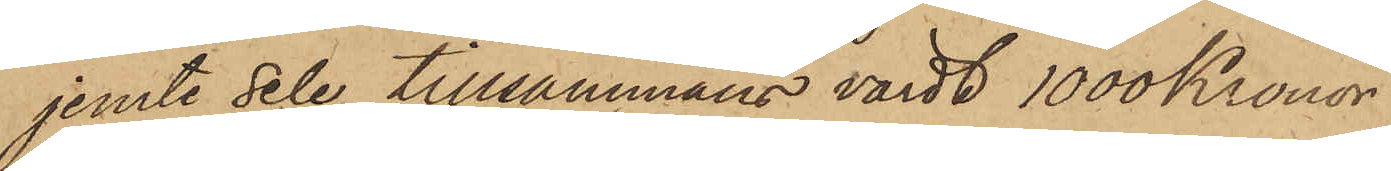jemte sele, tillsammans värdt 1000 Kronor.
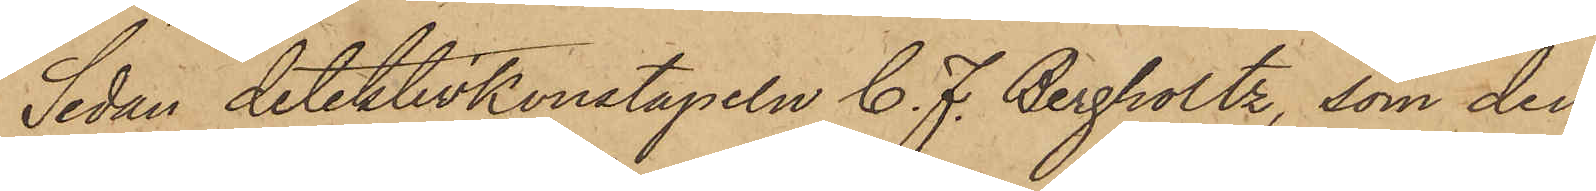Sedan detektivkonstapeln C. F. Bergholtz, som den
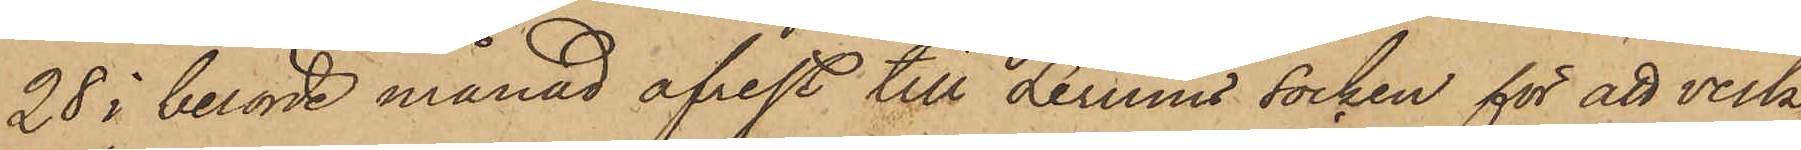28 i berörde månad afrest till Lerums socken för att verk¬
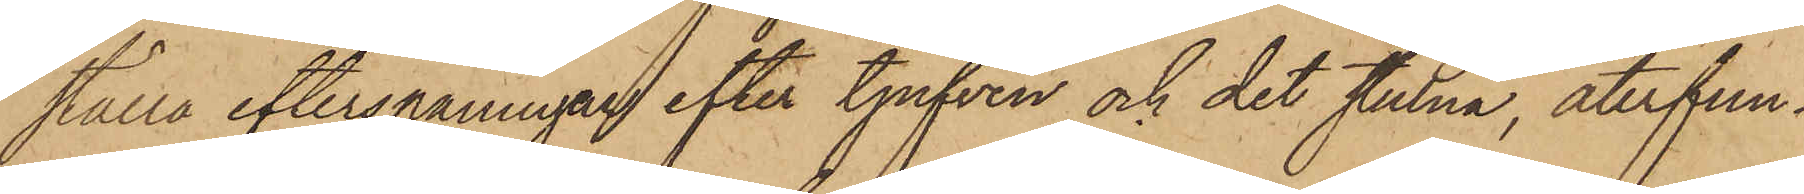ställa efterspaningar efter tjufven och det stulna, återfun¬
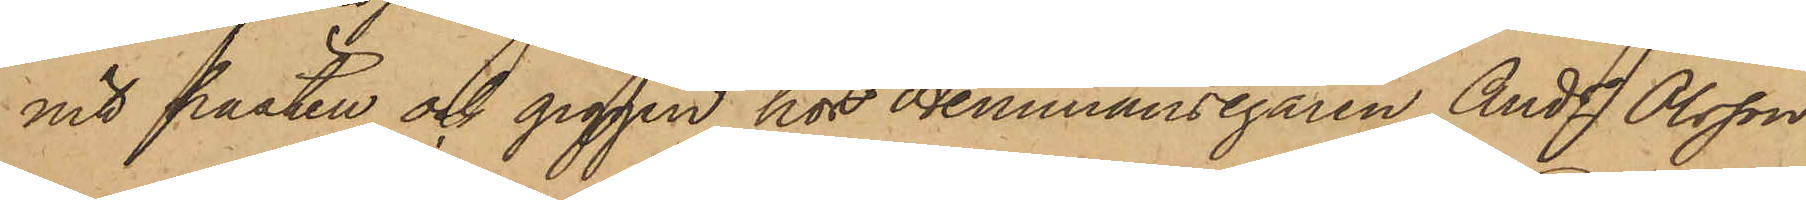nit hästen och giggen hos Hemmansegaren Ands Olsson
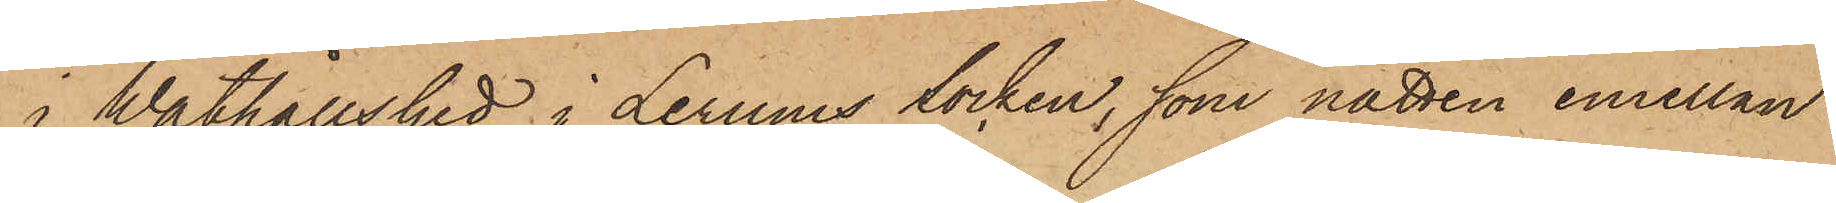i Wåthållshed i Lerums Socken, som natten emellan
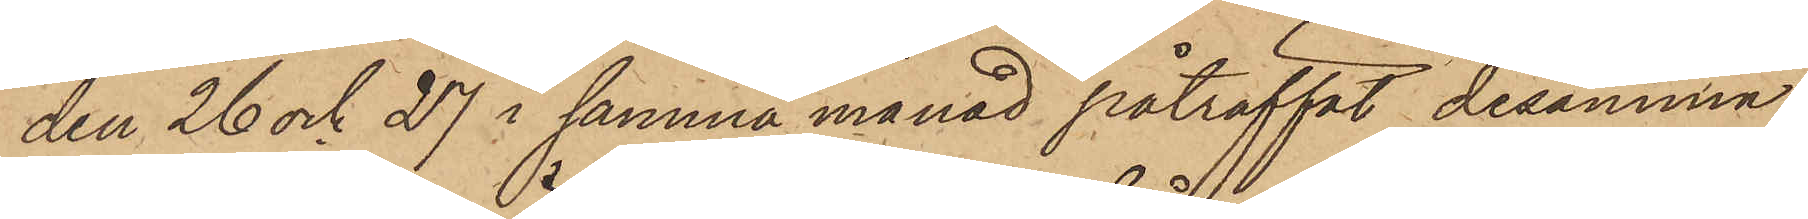den 26 och 27 i samma månad påträffat desamma
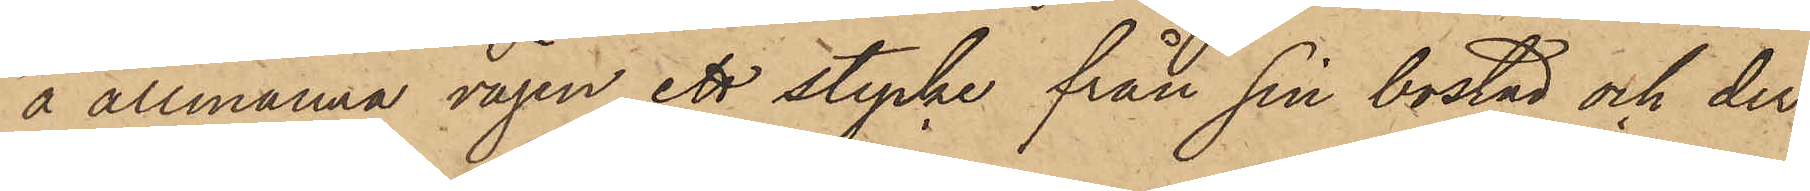å allmänna vägen ett stycke från sin bostad och der¬
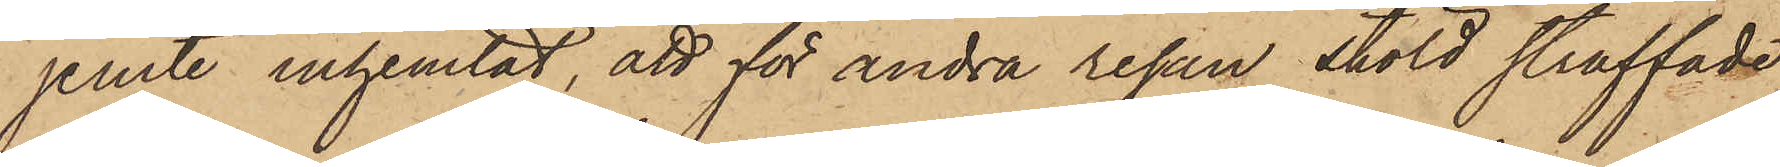jemte inhemtat, att för andra resan stöld straffade
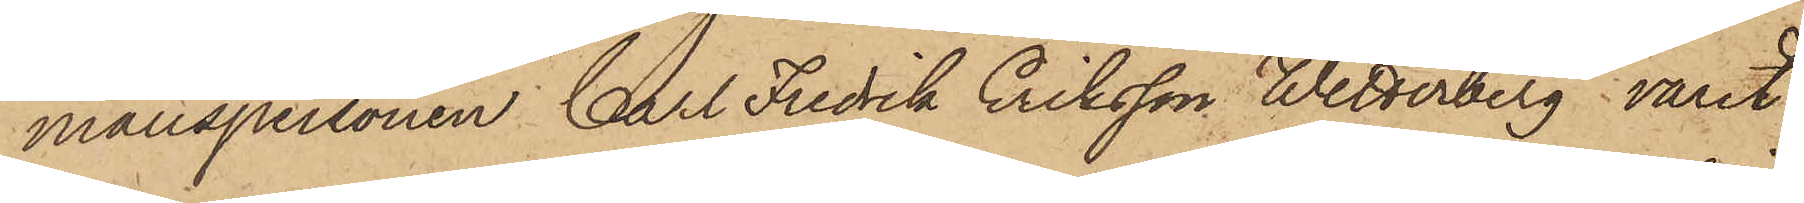manspersonen Carl Fredrik Eriksson Wetterberg varit
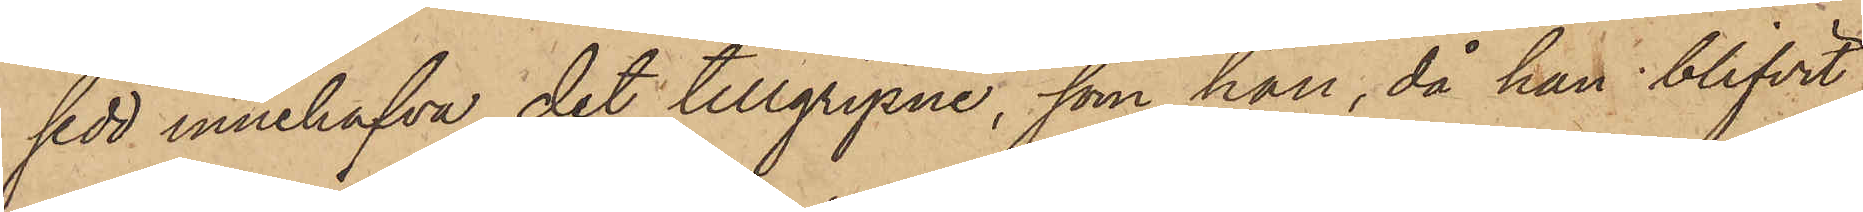sedd innehafva det tillgripne, som han, då han blifvit
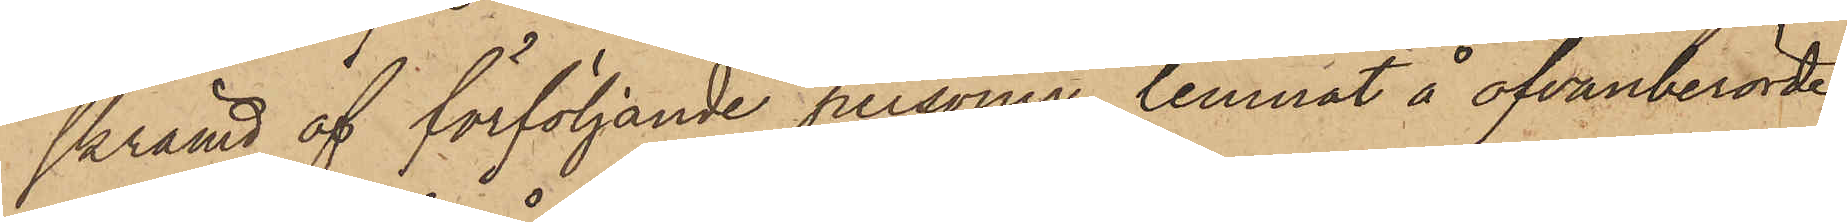skrämd af förföljande personer, lemnat å ofvanberörde
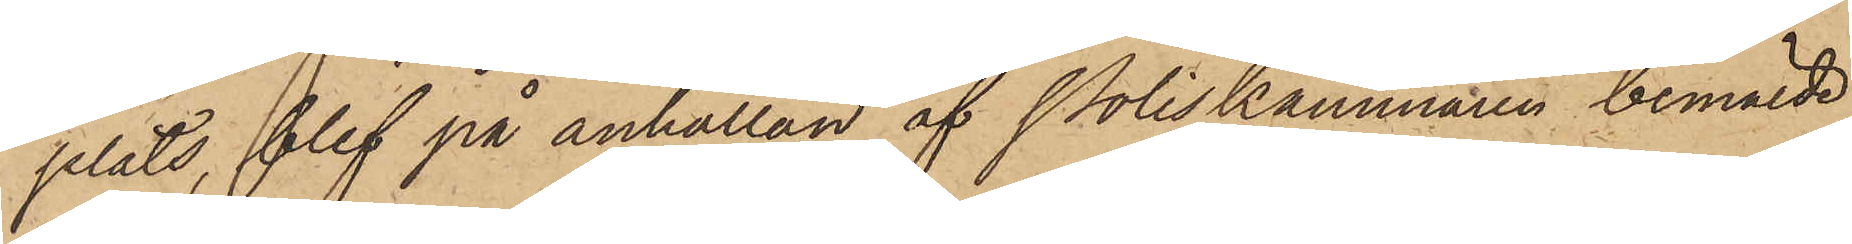plats, blef på anhållan af Poliskammaren bemälde
